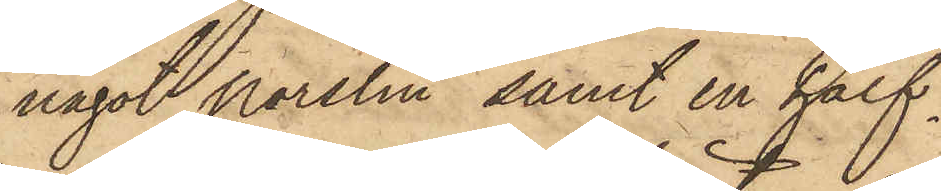något porslin, samt en half¬
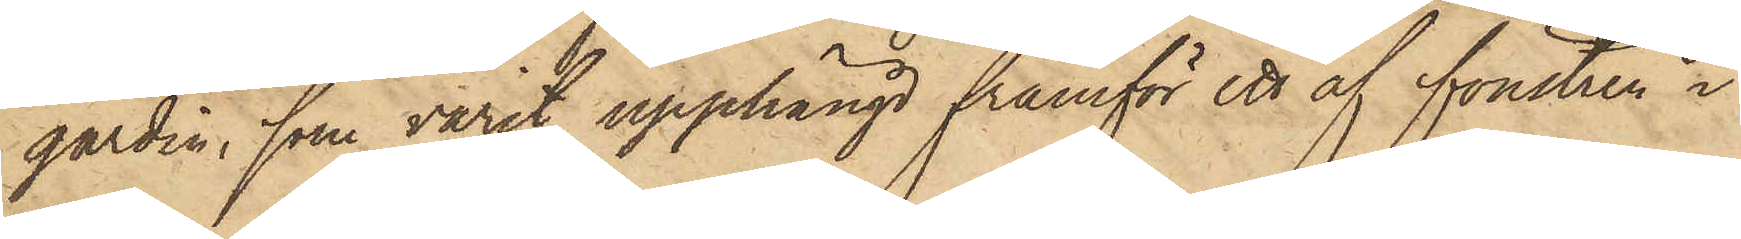gardin, som varit upphängd framför ett af fönstren i
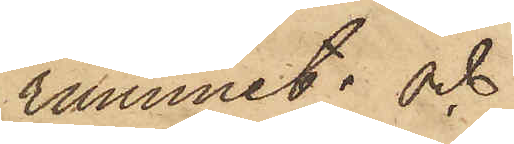rummet; och
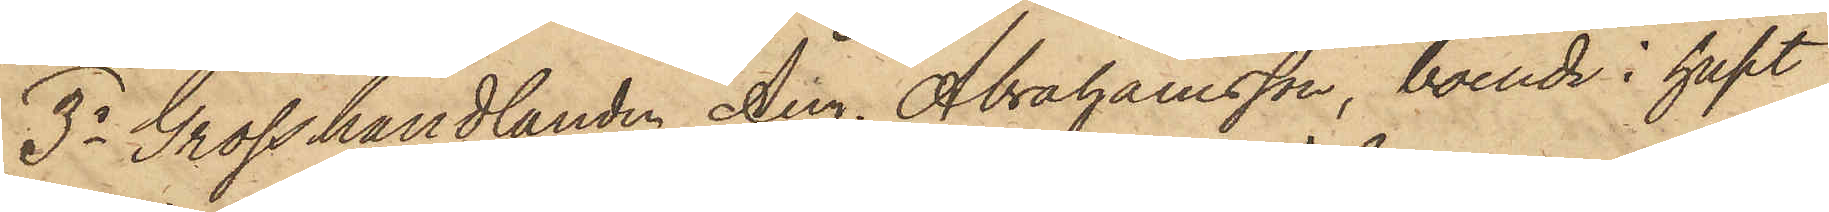3o Grosshandlanden Aug. Abrahamsson, boende i huset
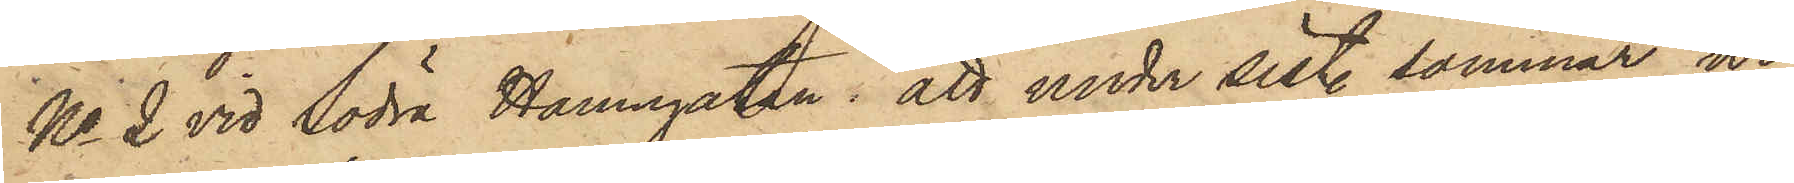No 2 vid Södra Hamngatan: att under sist. sommar ur
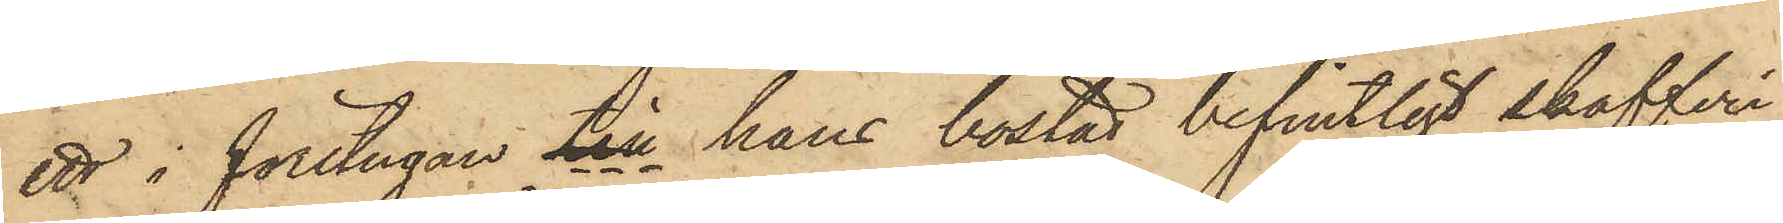ett i förstugan till hans bostad befintligt skafferi,
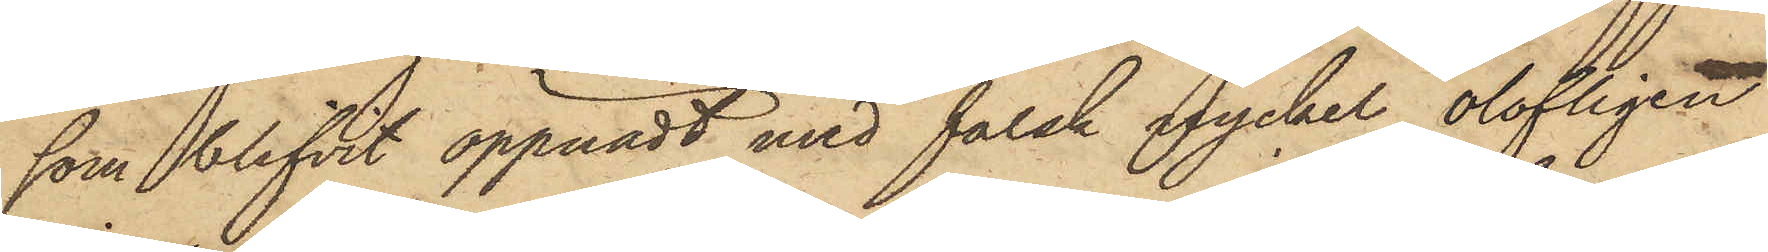som blifvit öppnadt med falsk nyckel, olofligen
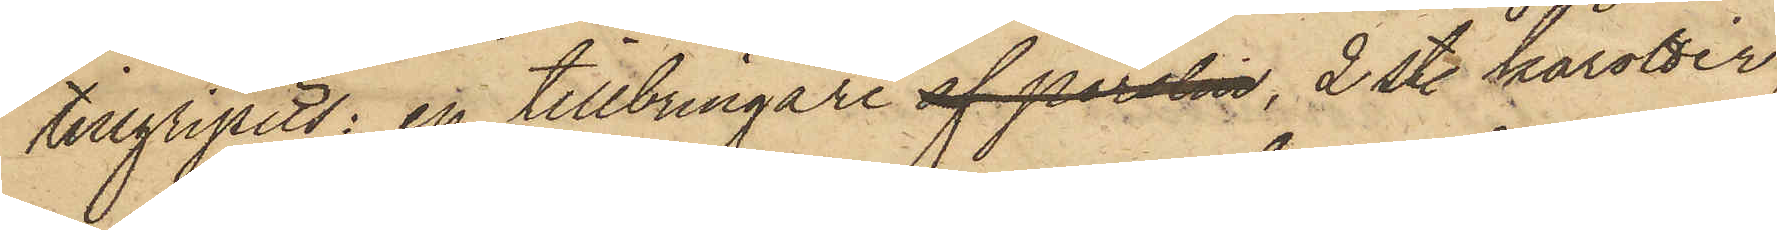tillgripits: en tillbringare af porslin, 2 st. karotter,
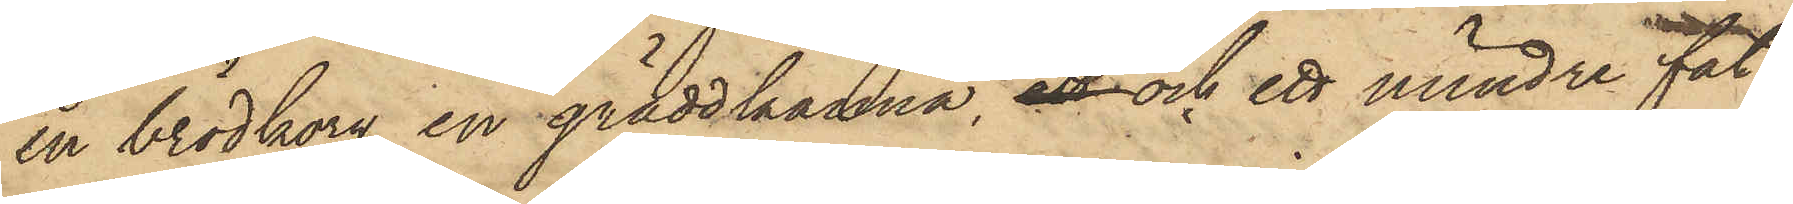en brödkorg, en gräddkanna, ett och ett mindre fat,
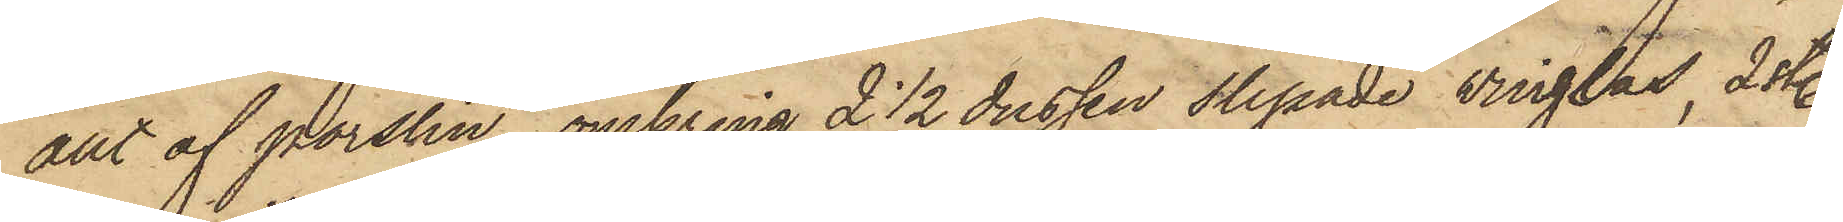allt af porslin, omkring 2 1/2 dussin slipade vinglas, 2 st.
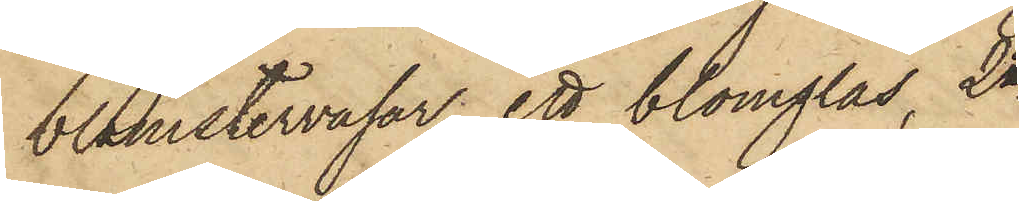blomstervasar, ett blomglas, 2ne
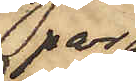par
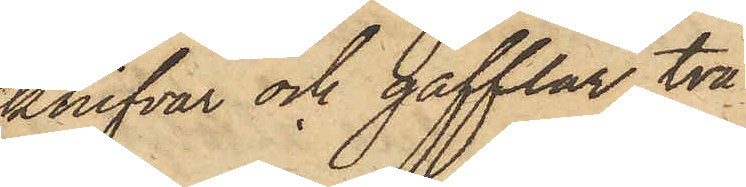knifvar och gafflar, två
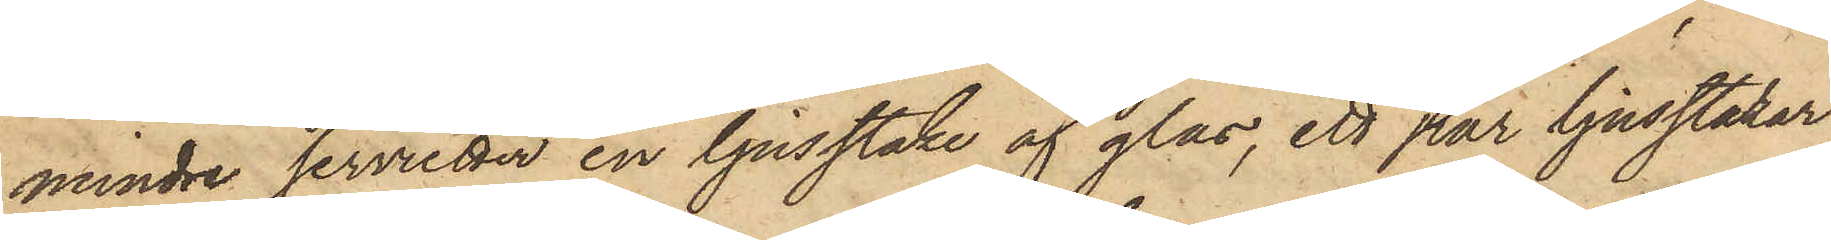mindre servietter, en ljusstake af glas, ett par ljusstakar
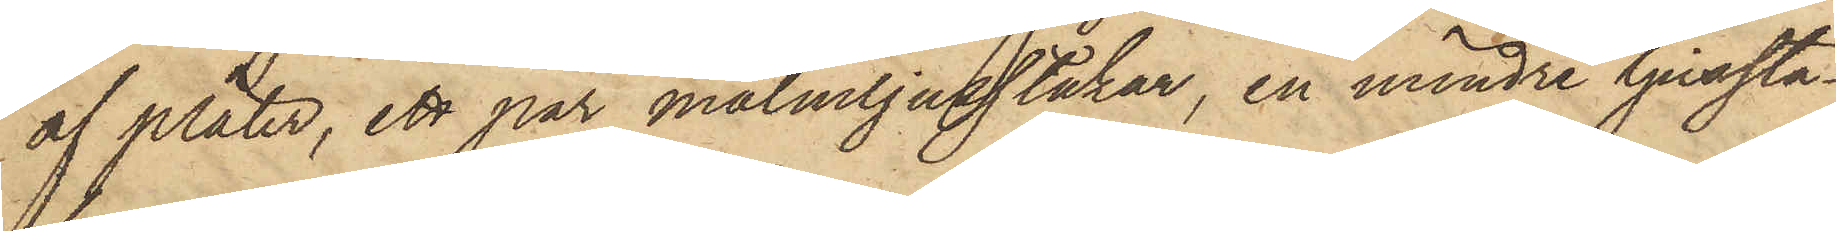af pläter, ett par malmljusstakar, en mindre ljussta¬
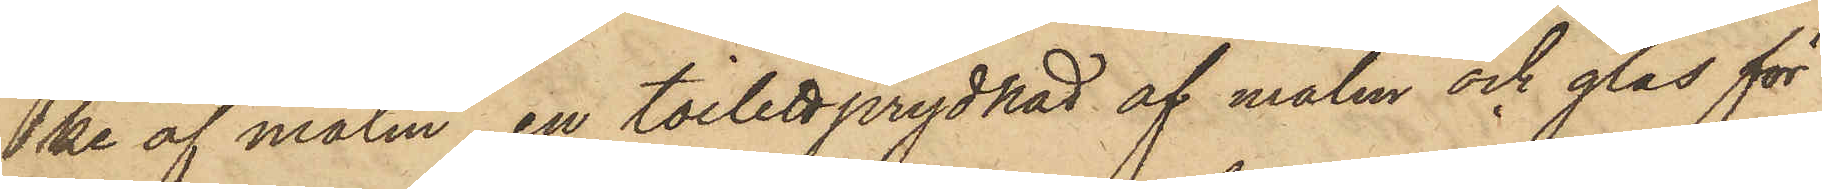ke af malm, en toilettprydnad af malm och glas för
